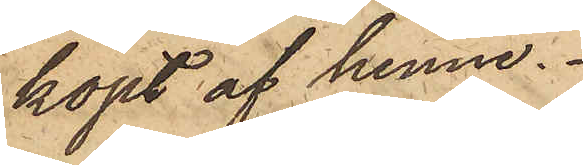köpt af henne.
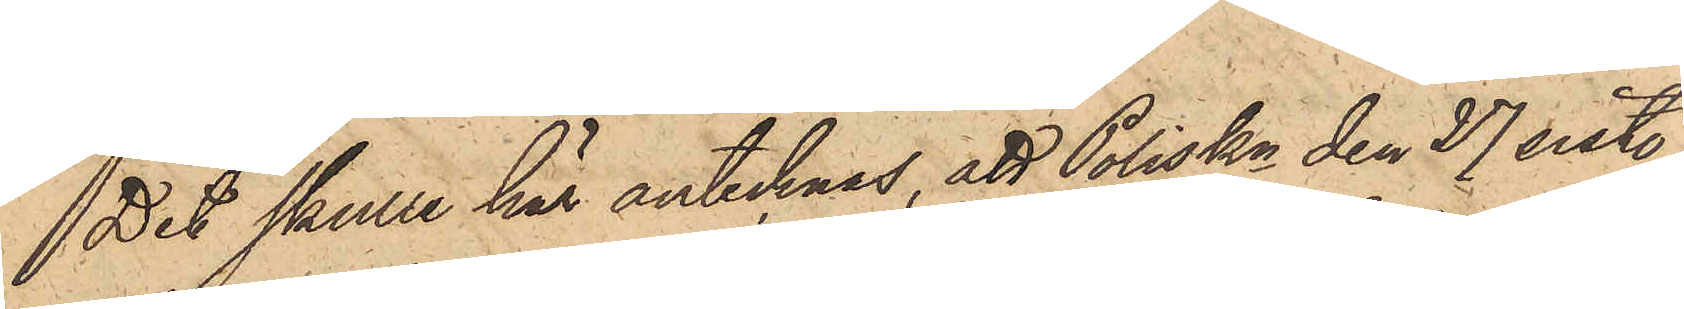Det skulle här antecknas, att Poliskn den 27 sist.
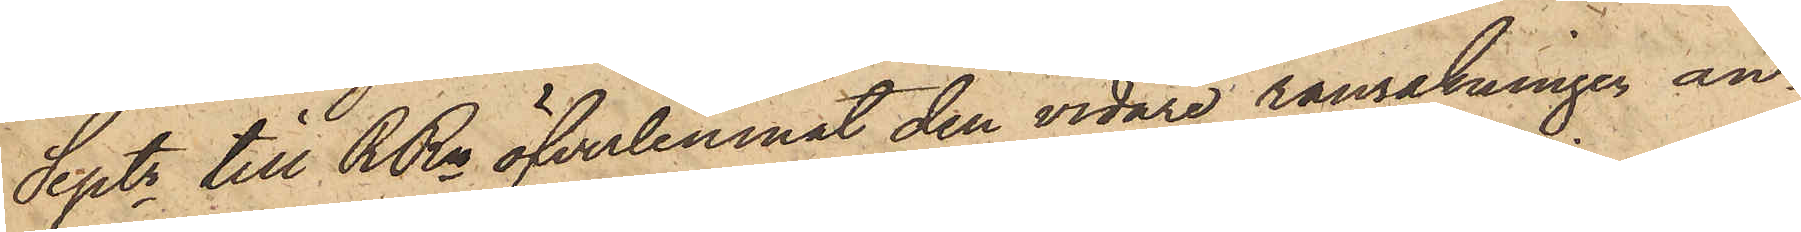Septr till RRn öfverlemnat den vidare ransakningen an¬
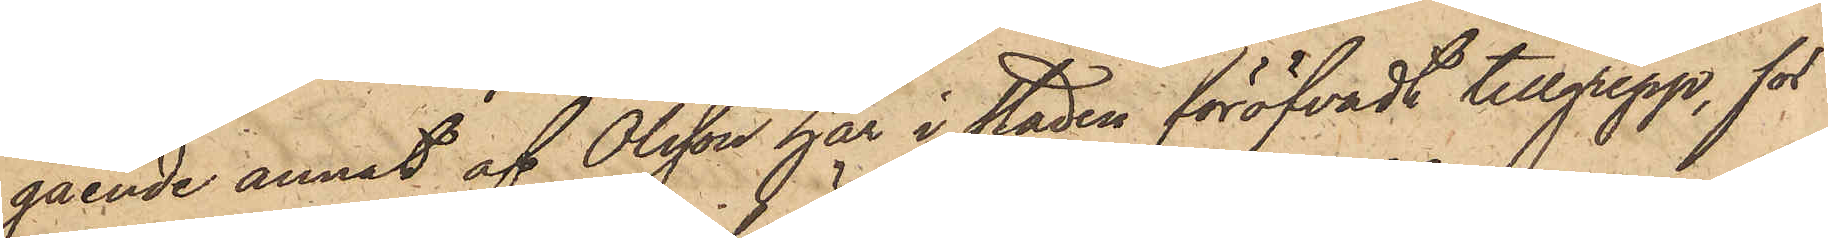gående annat af Olsson här i staden föröfvadt tillgrepp, för
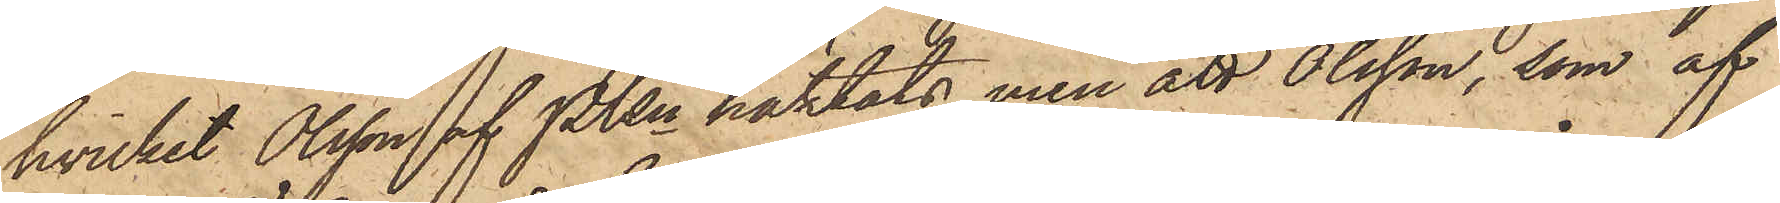hvilket Olsson af PKn häktats, men att Olsson, som af
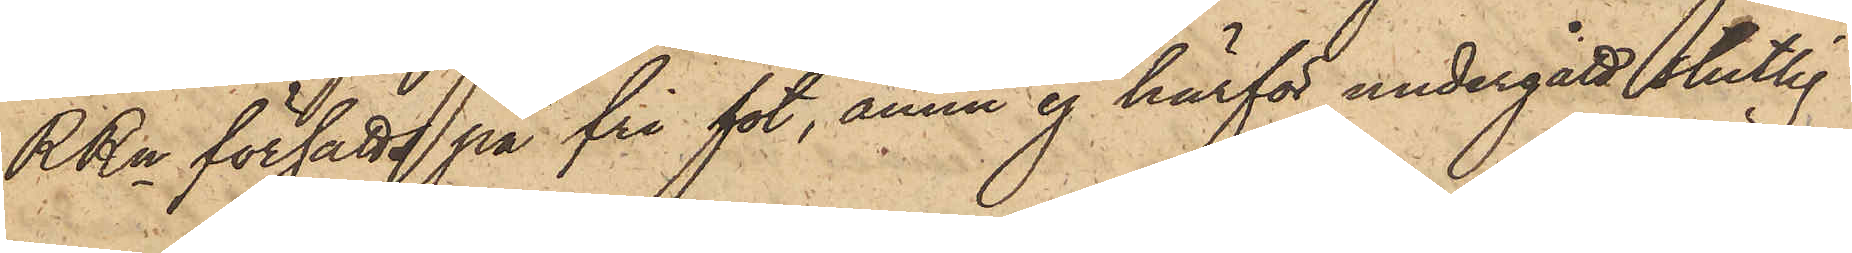RRn försatts på fri fot, ännu ej härför undergått slutlig
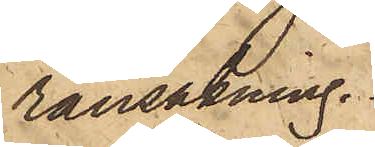ransakning.
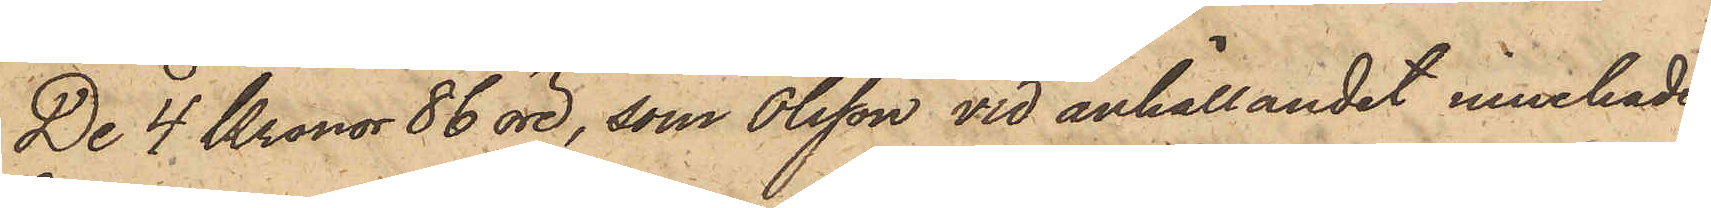De 4 Kronor 86 öre, som Olsson vid anhållandet innehade,
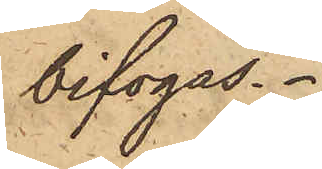bifogas.
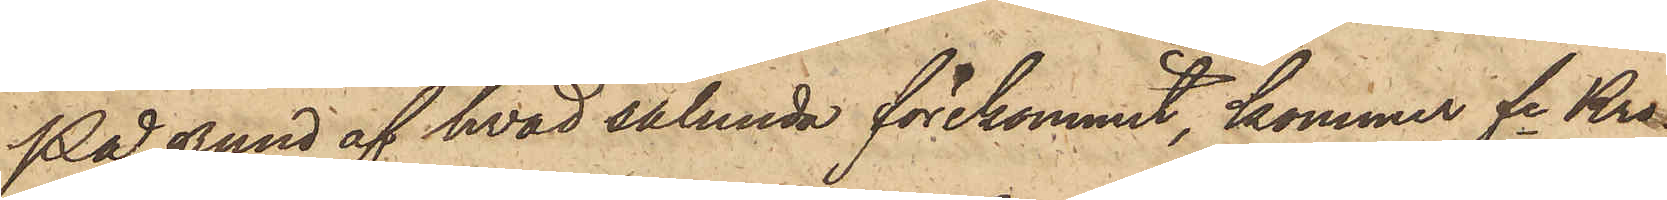På grund af hvad sålunda förekommit, kommer fre Kro¬
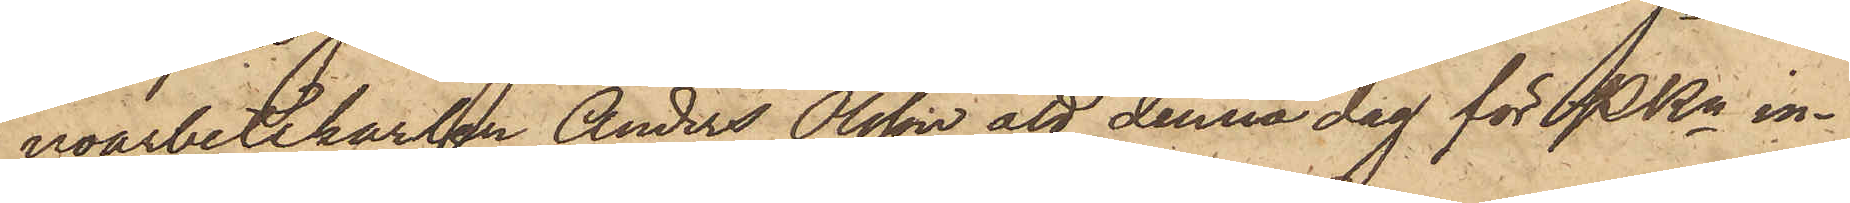noarbetskarlen Anders Olsson att denna dag för PKn in¬
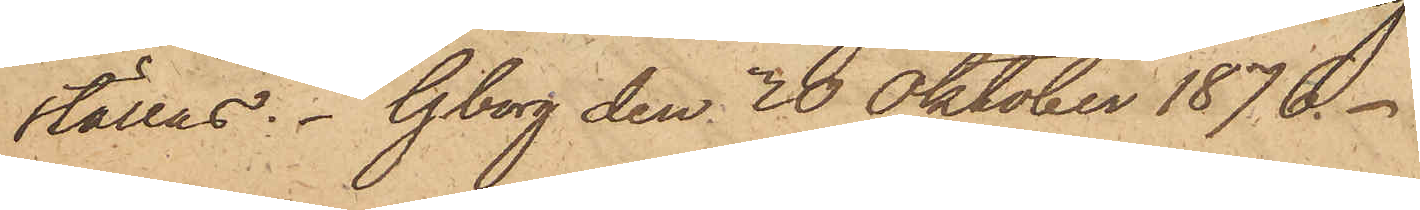ställas. Gborg den 30 Oktober 1876.
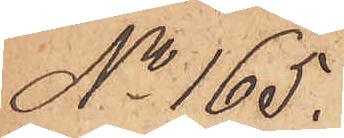No 165.
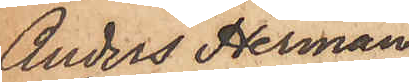Anders Herman
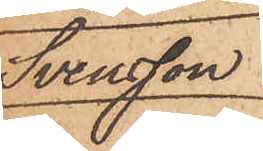Svensson.
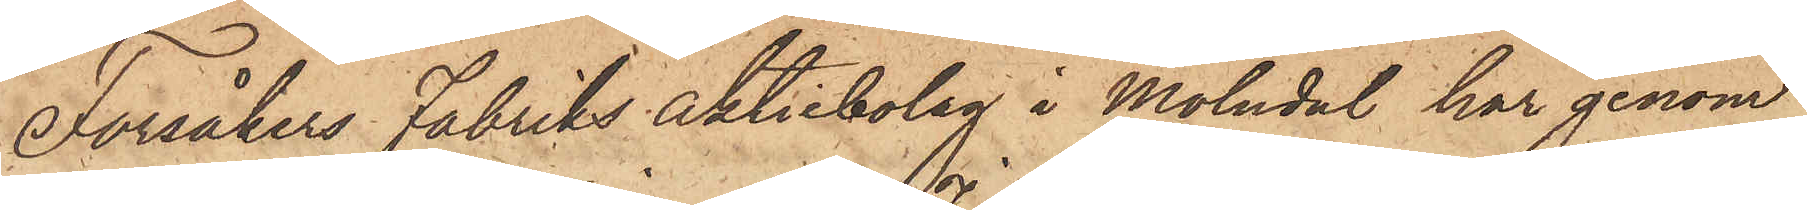Forsåkers Fabriks Aktiebolag i Mölndal, har genom
